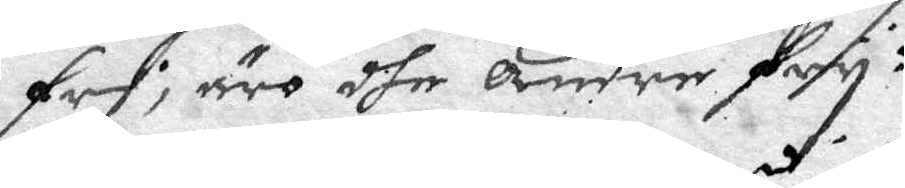fri, äro dhe andre fry:
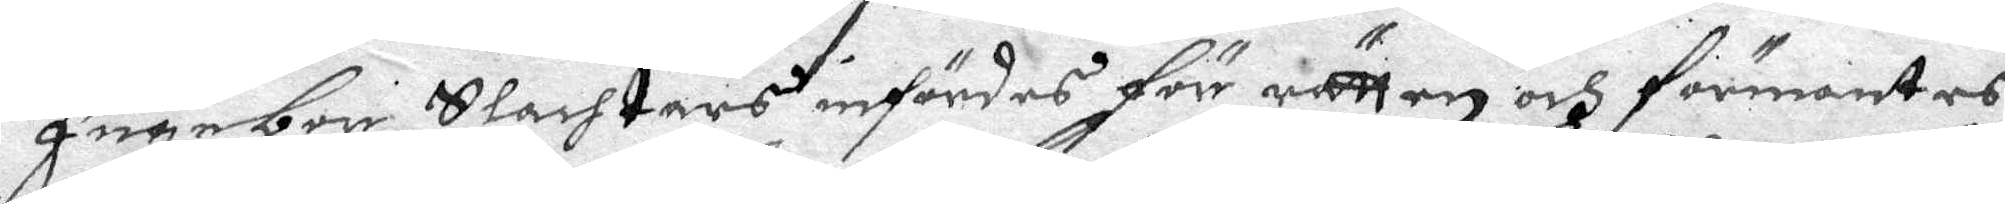Ingebor Slachtars infördes för rätten och förmantes
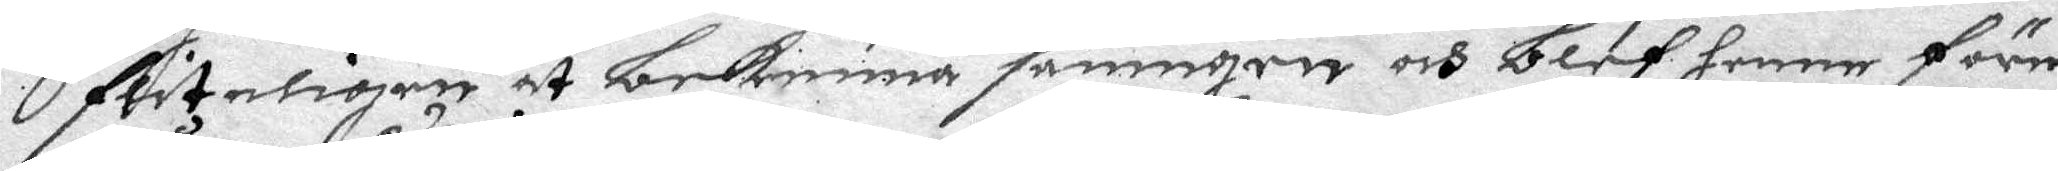fliteligen at bekenna sanningen och blef henne före¬
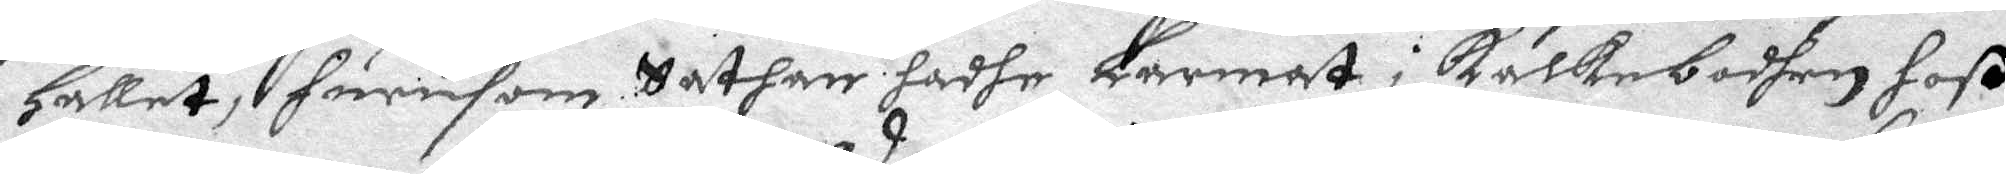Hållet, hurusom Sathan hadhe Larmat i kalkeboden hoß
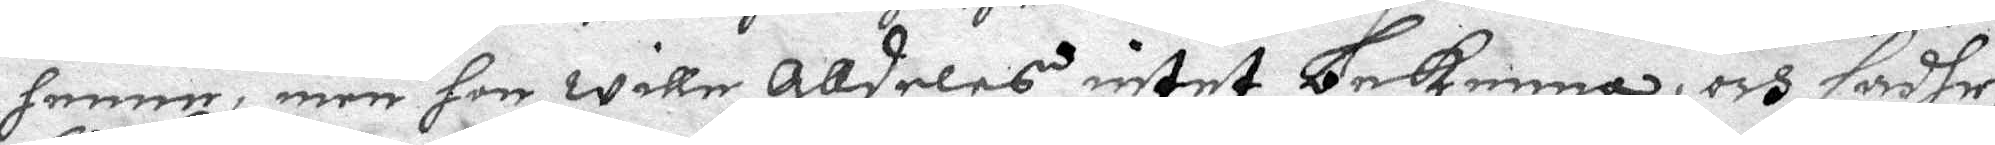henne, men hon wille Alldeles intet bekenna, och sadhe
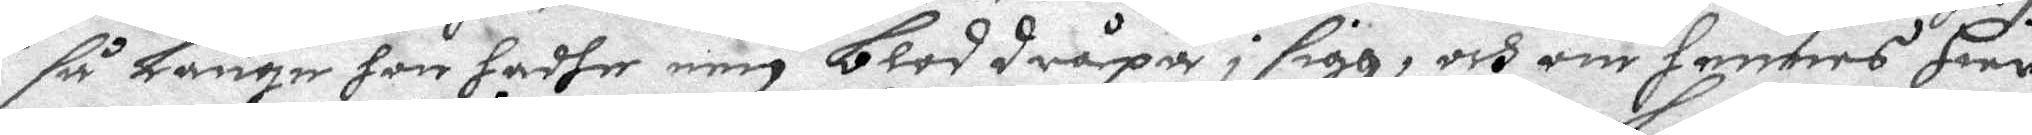så Länge hon hadhe een blod dråpa i sigh, och om hennes Hier¬
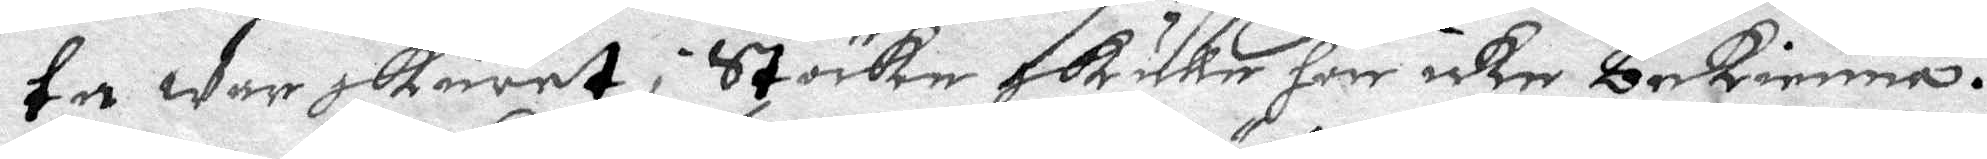ta war skurer i Stöcke skulle hon icke bekienna.
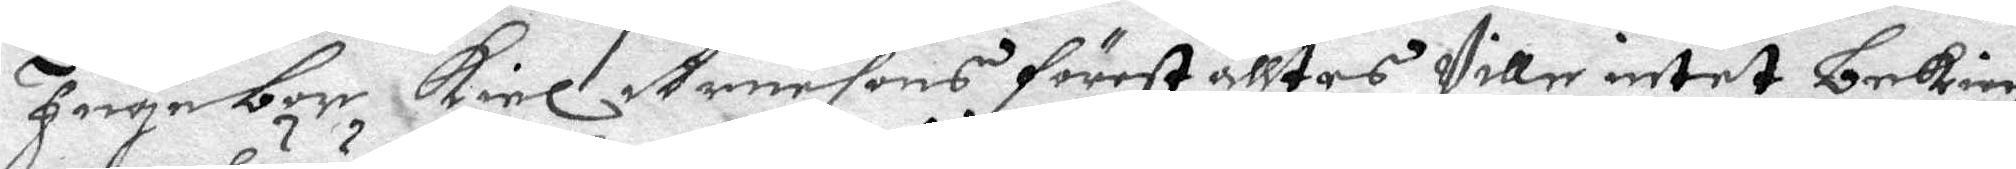Ingebor Kiel Arnesons föreställtes Ville intet bekien¬
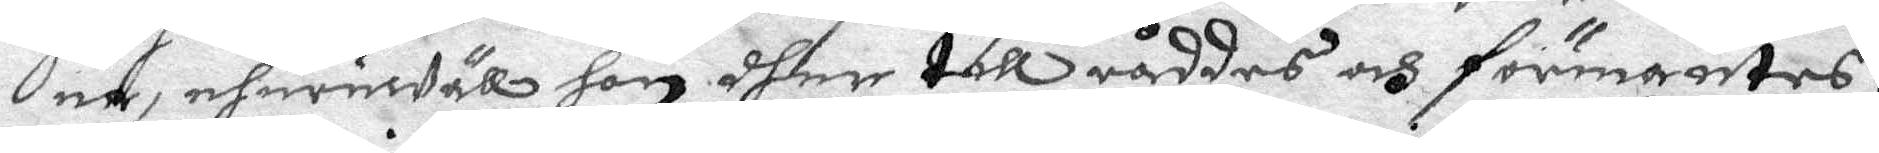na, ehuruwäll hon dher till råddes och förmantes:
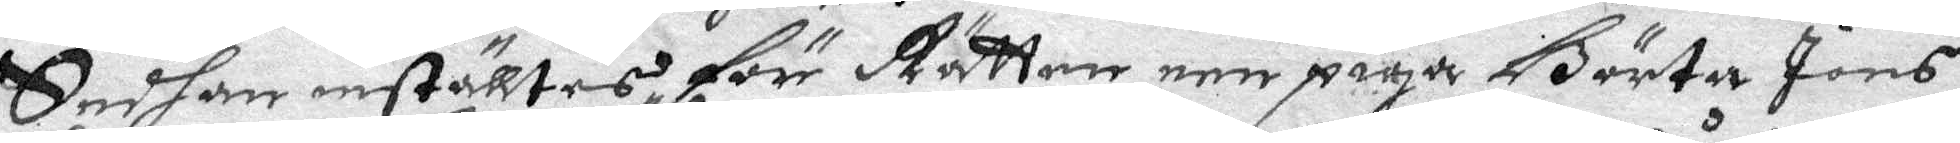Sedhan inställtes för Rätten een piga Börta Jons¬
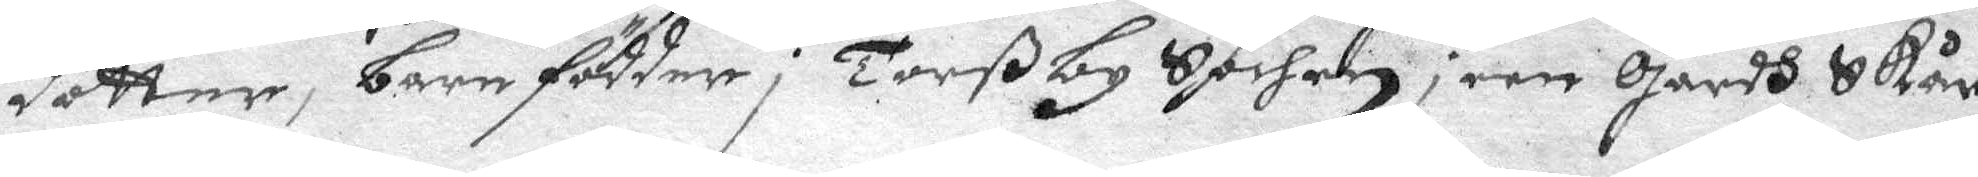dotter, barnfödder i Torßby Sochen i een gårdh Skår
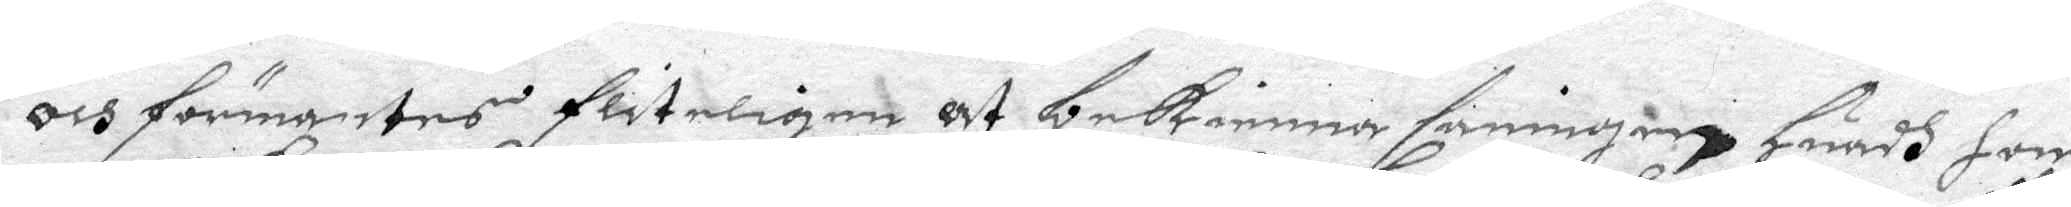och förmantes fliteligen at bekienna sanningen Huadh hon
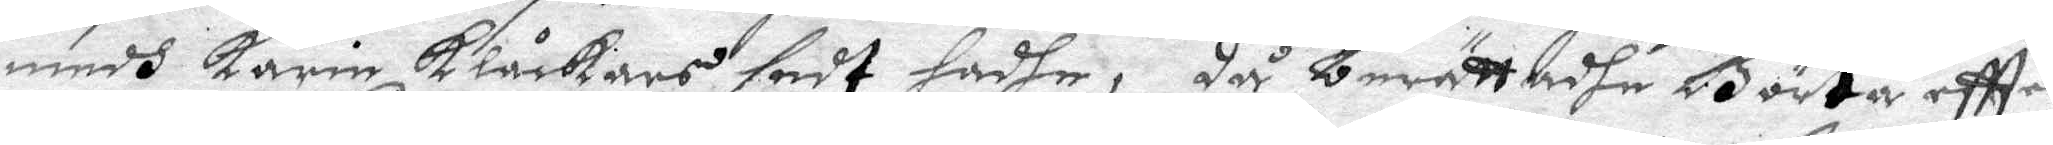medh Karin Klåckars sedt hadhe, då berättadhe Börta eftter
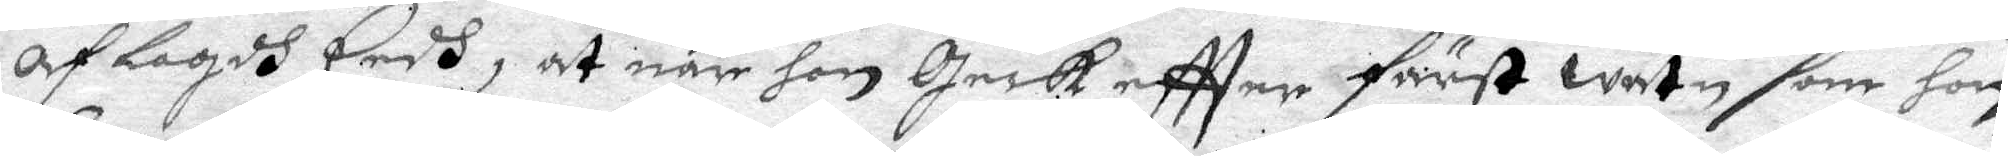AfLagdh Eedh, at när hon geck eftter färst watn som hon
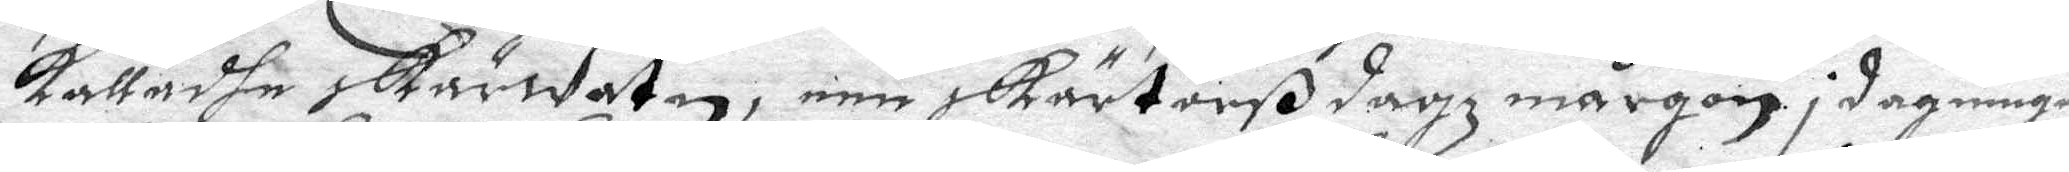kalladhe skärwatn, een skärtorß dagz mårgon i dagningen
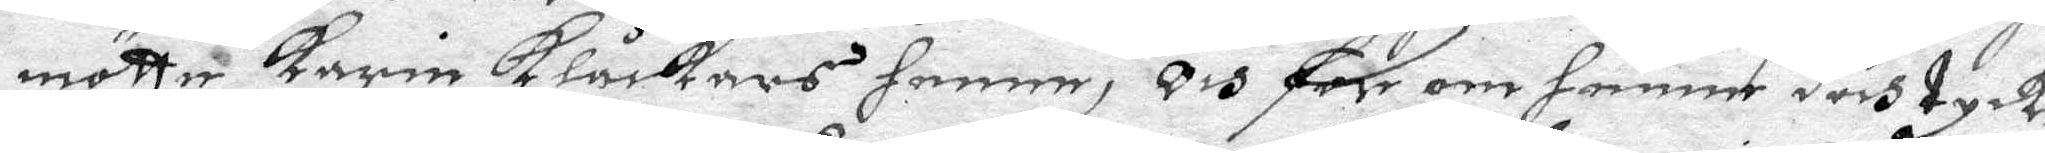mötte Karin Klåckars henne, och for om henne doch tyck¬
